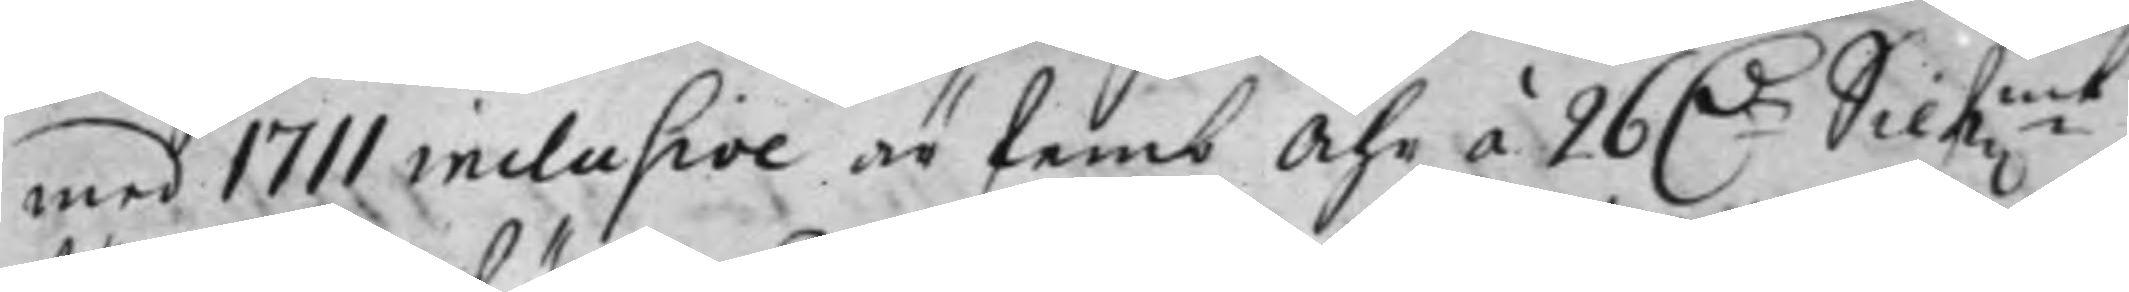med 1711 inclusive är femb Åhr á 26 D.r Silf:mt
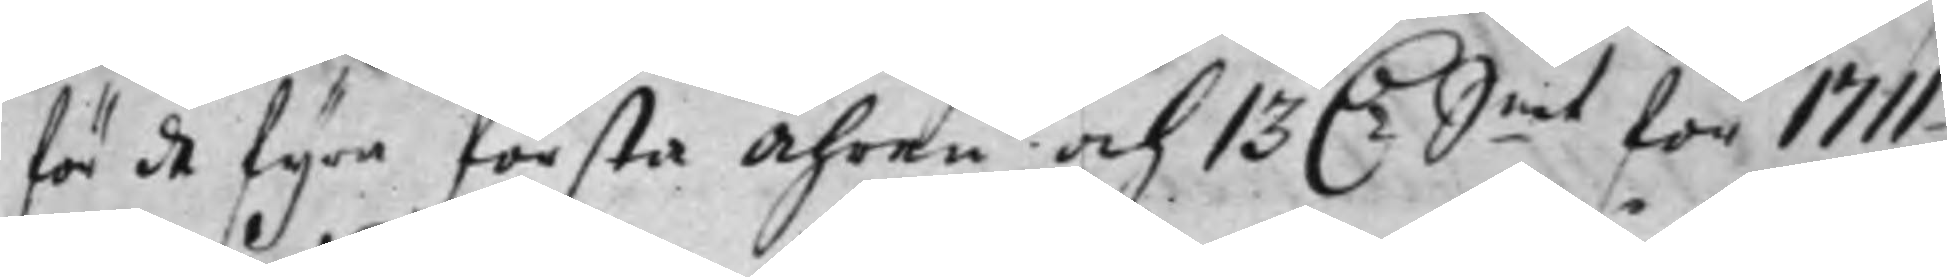för de fyra första Åhren och 13 D.r S.mt för 1711
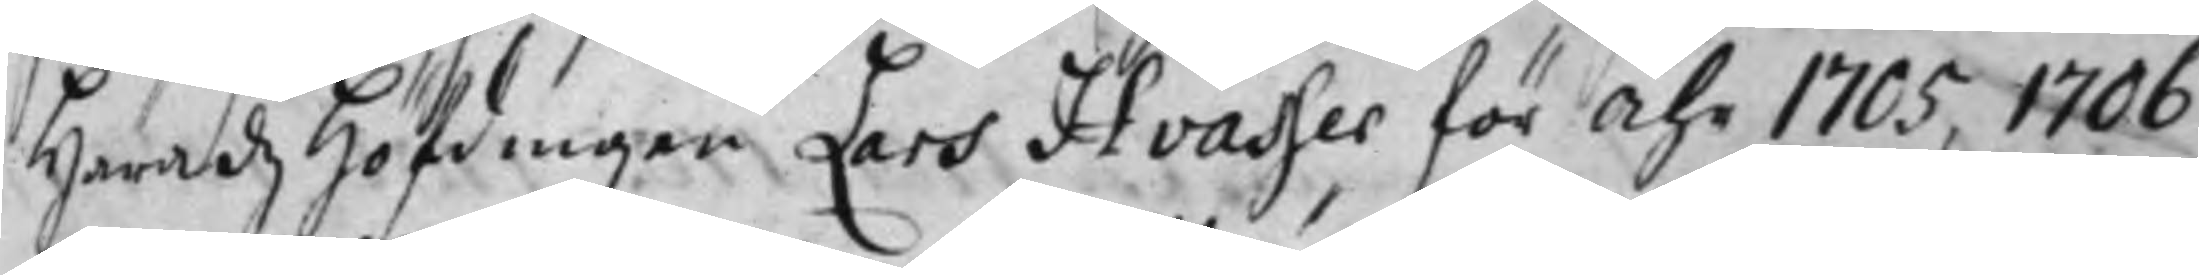Häradz Höfdingen Lars Hvasser för Åhr 1705, 1706
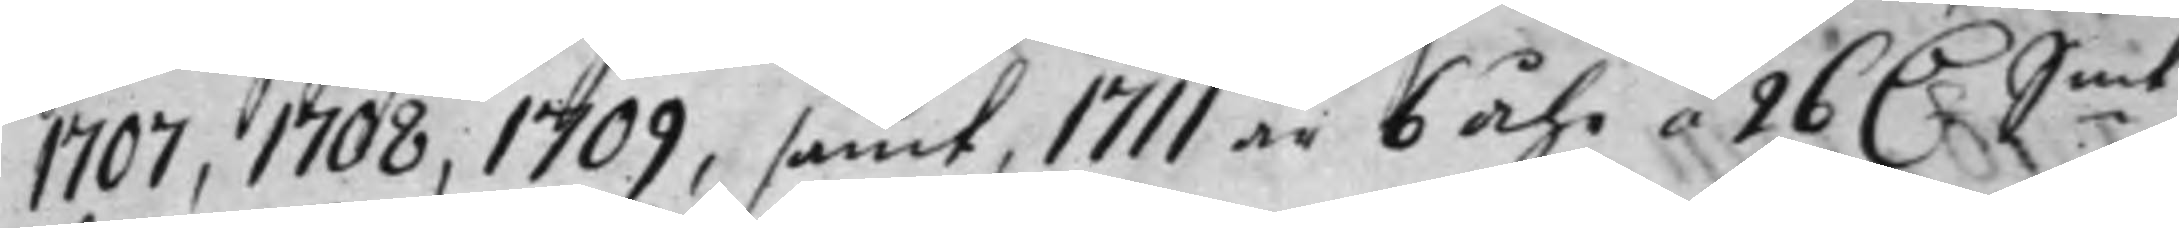1707, 1708, 1709, samt, 1711 är 6 Åhr á 26 D.r S:mt
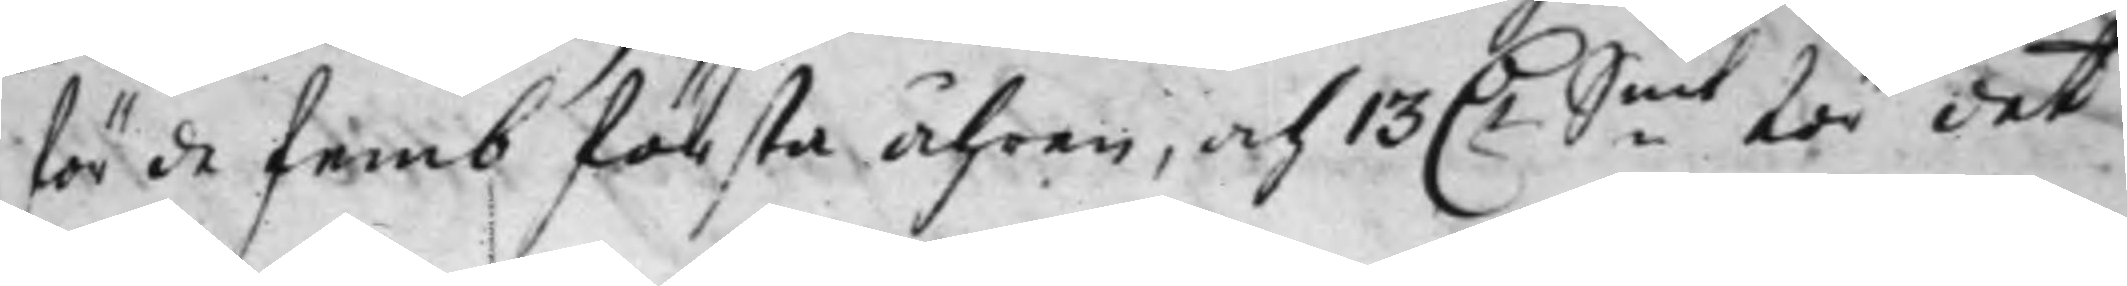för de femb första Åhren, och 13 D.r S:mt för det
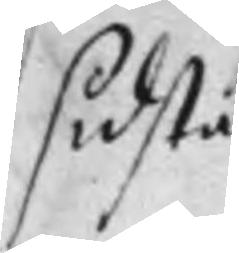sidsta
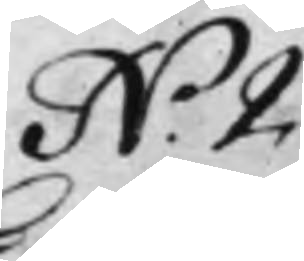N.o 2.
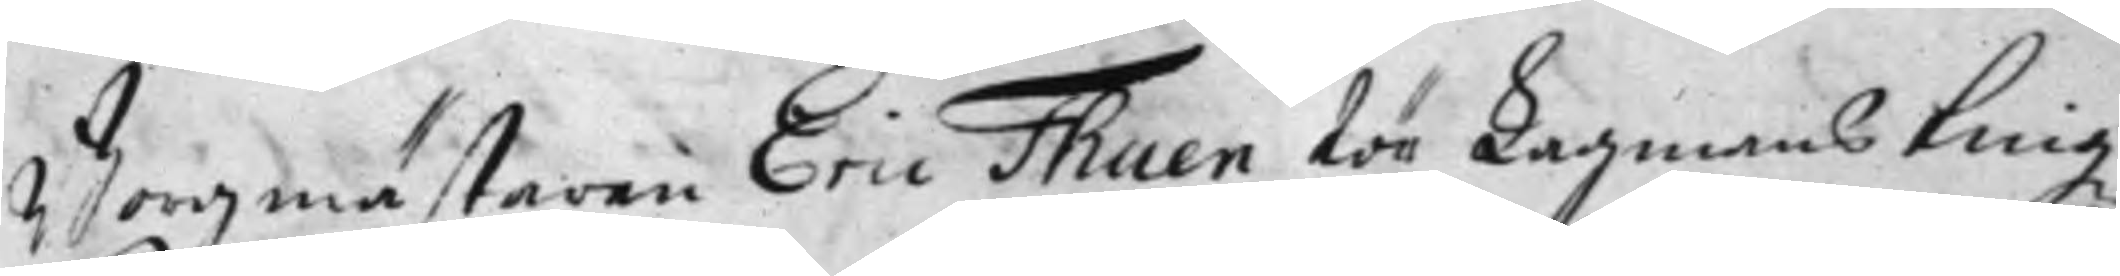Borgmästaren Eric Thuen för Lagmans tingz
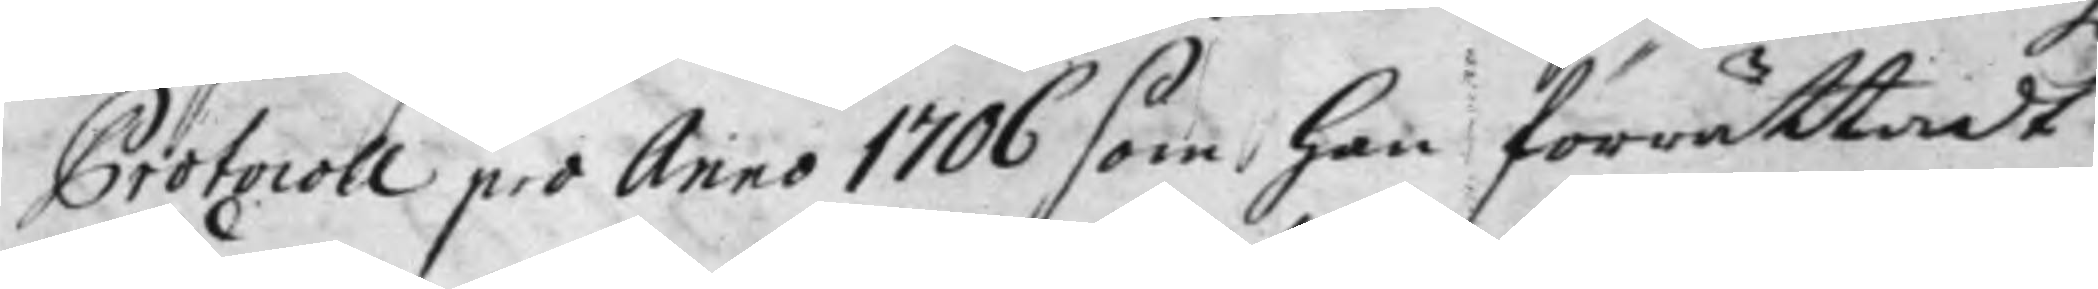Protocoll pro Anno 1706 som han förrättadt
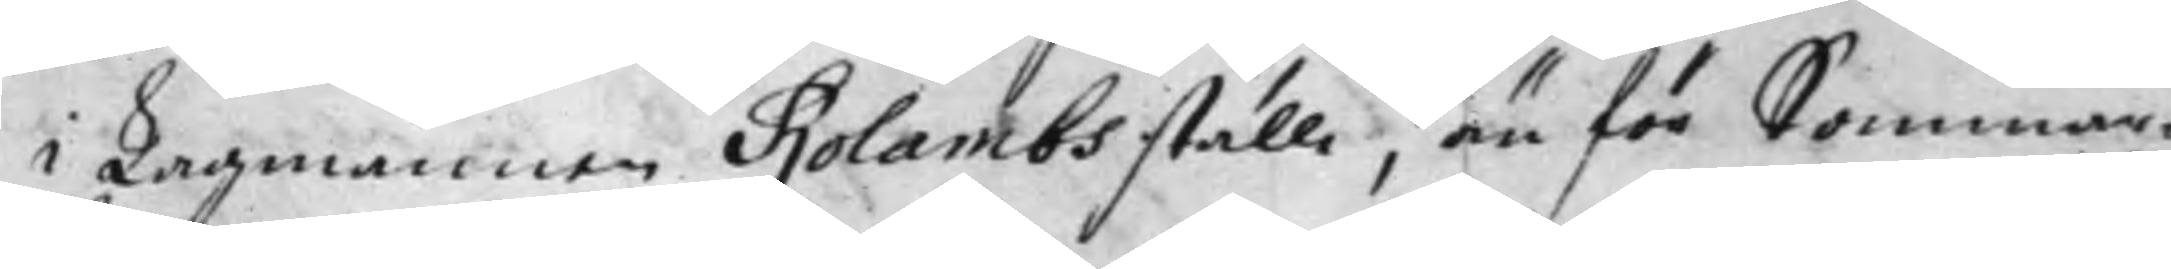i Lagmannen Rolambs ställe, än för Sommar¬
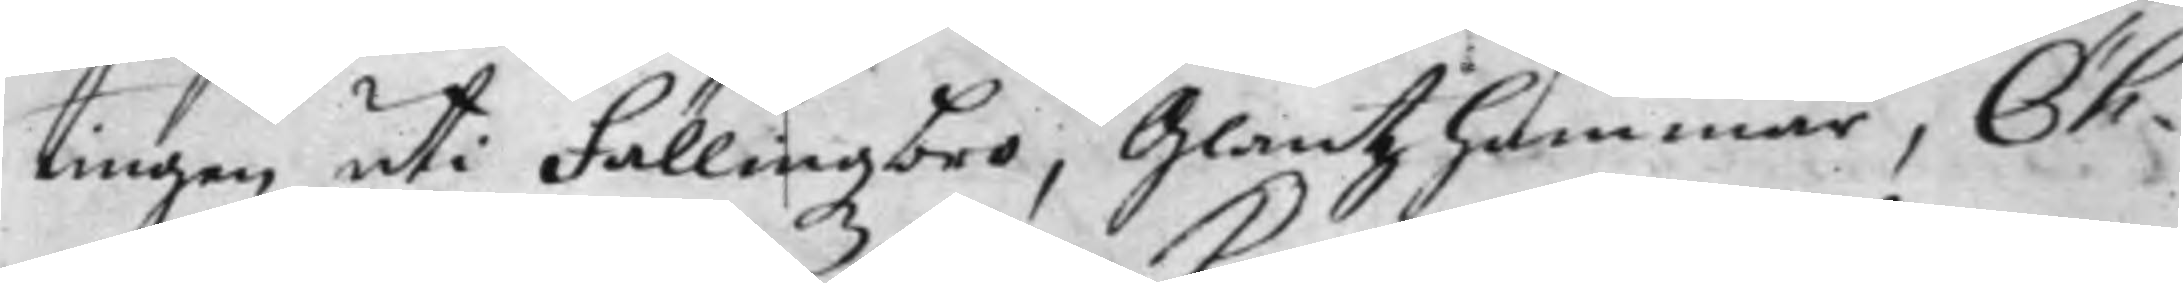tingen uti Fällingzbro, Glantzhammar, Öh¬
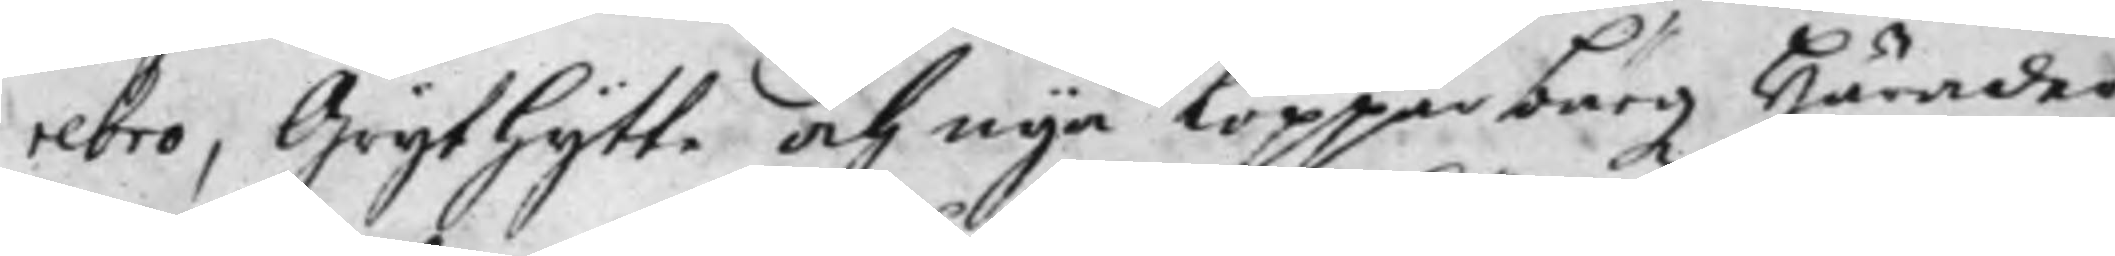rebro, Grythytte och nya Kopparbärgz Härader
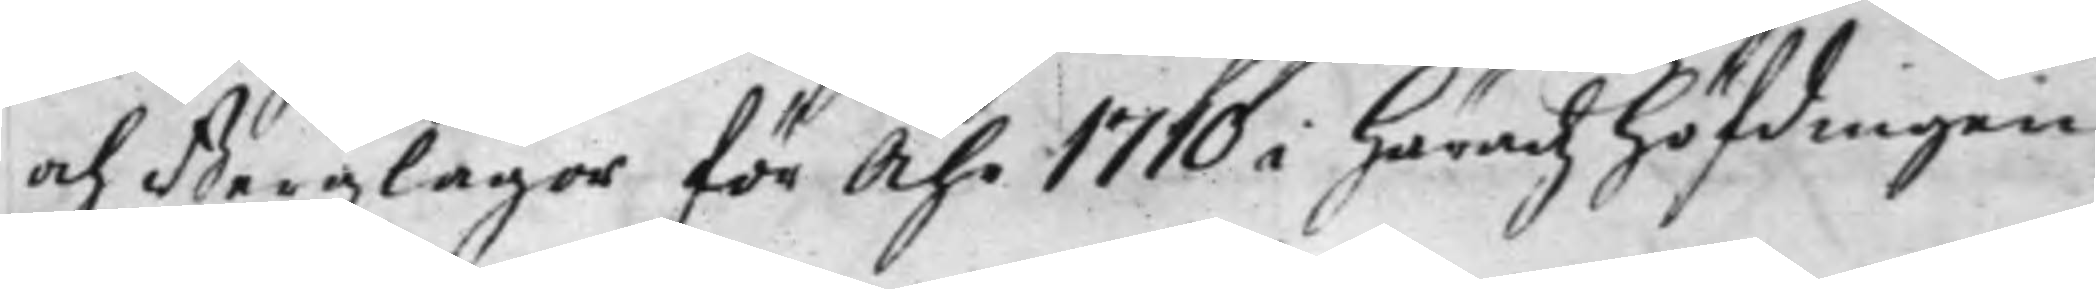och Bergzlager för Åhr 1710 i Häradz höfdingen
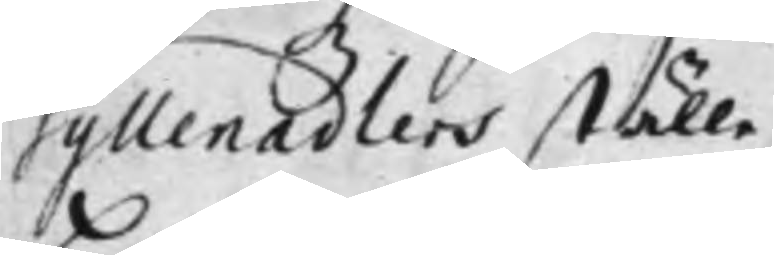Gyllenadlers ställe.
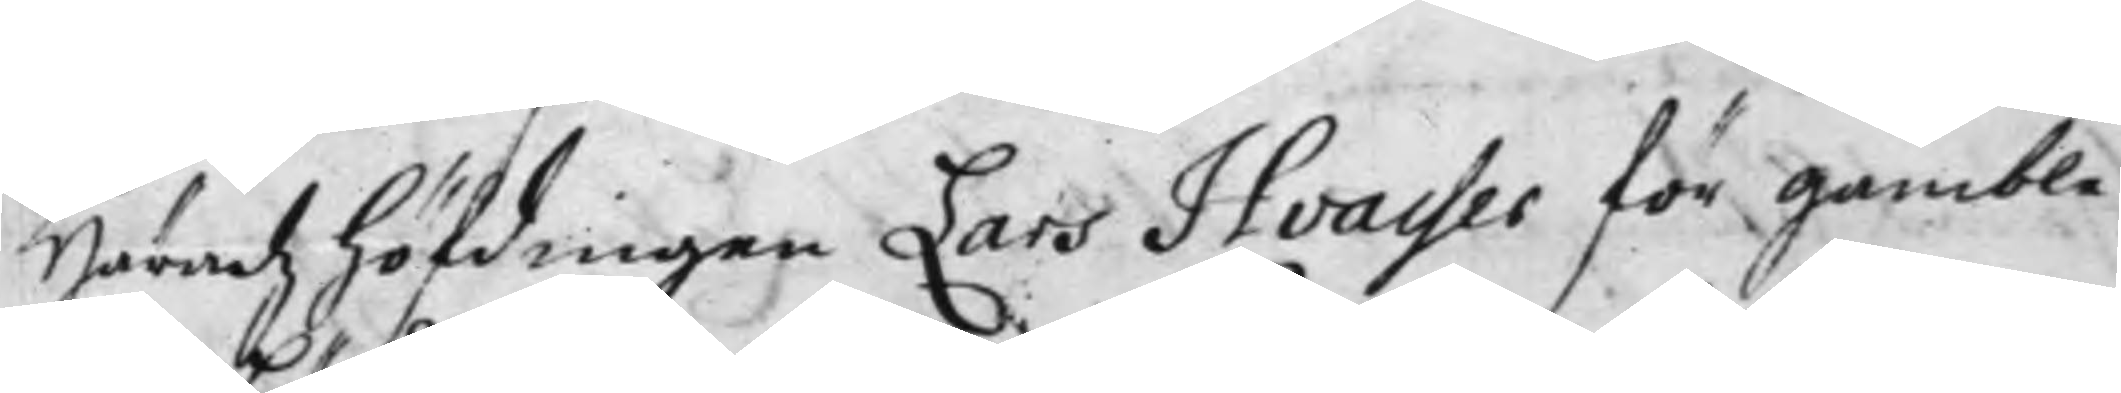Häradz höfdingen Lars Hvasser för gamble
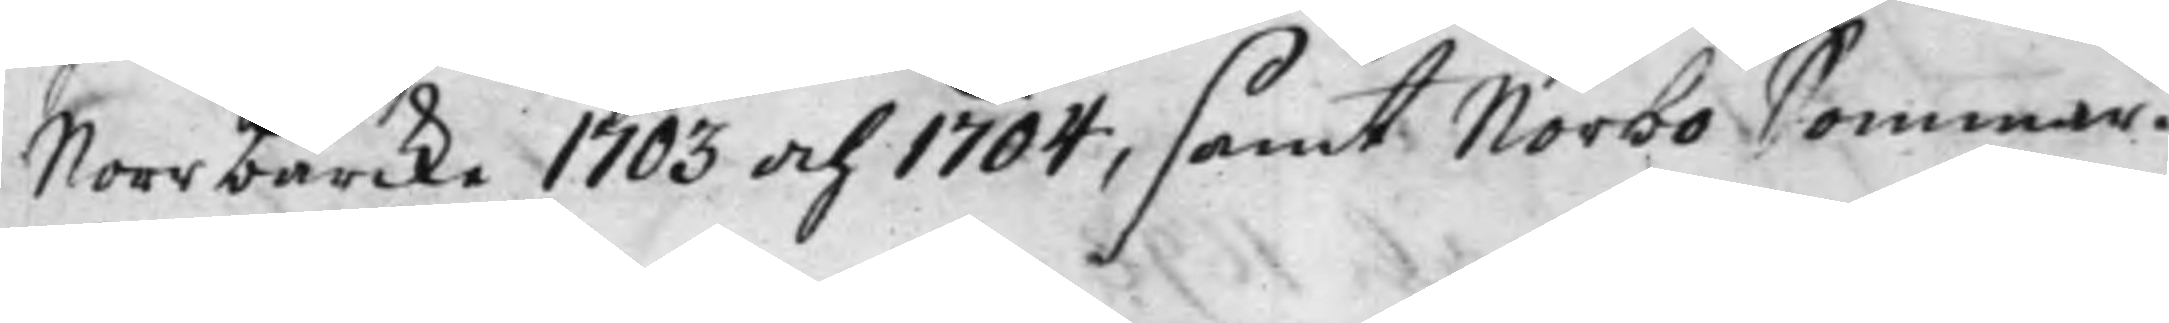Norrbärcke 1703 och 1704, samt Norbo Sommar¬
